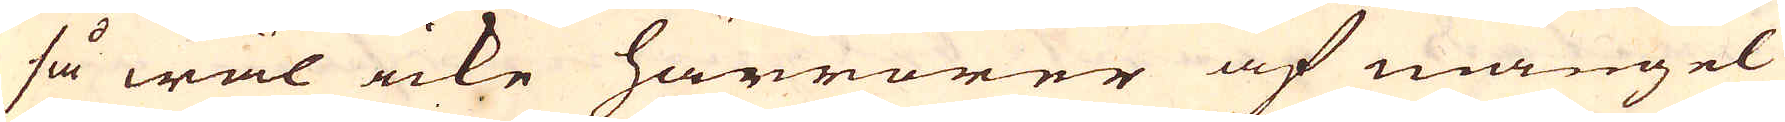så wäl icke härrörer af mangel
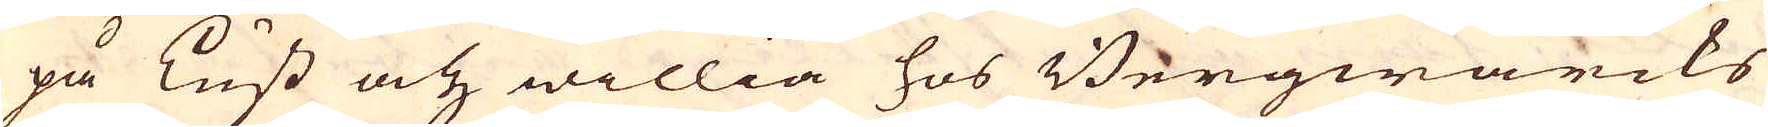på Lust och willia hos Bergwärcks
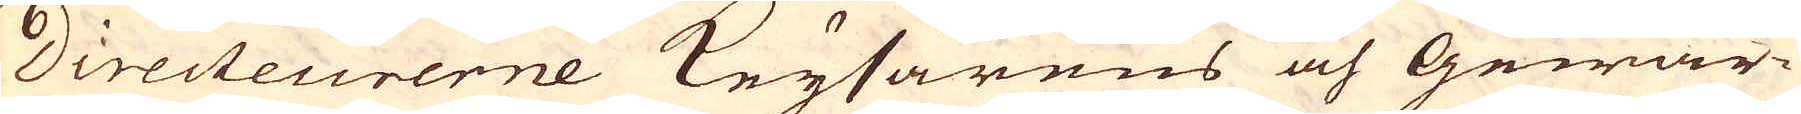Directeurerne Keysarens och Gewär-
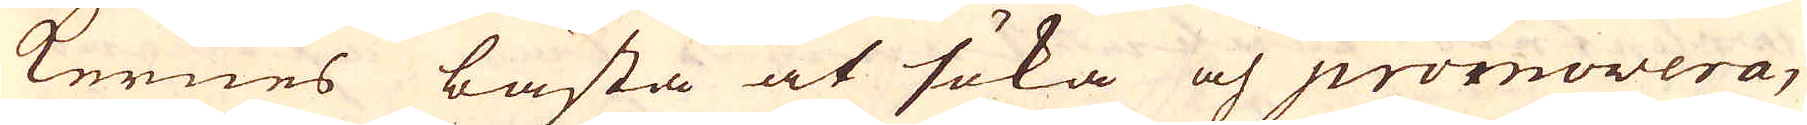kernes bästa at söka och promovera,
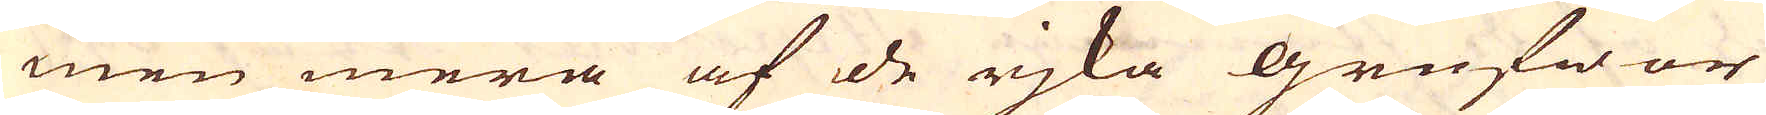men mera af de rjka grufwor
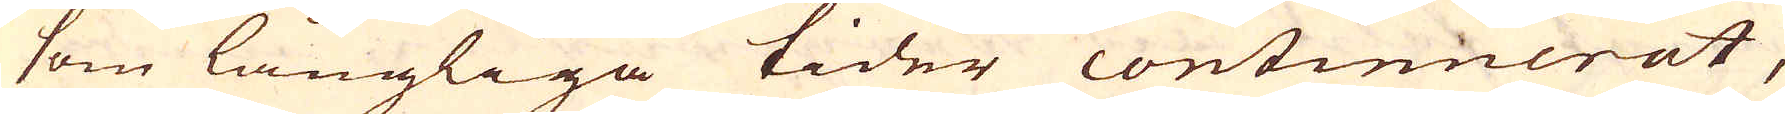som långliga tider continnerat,
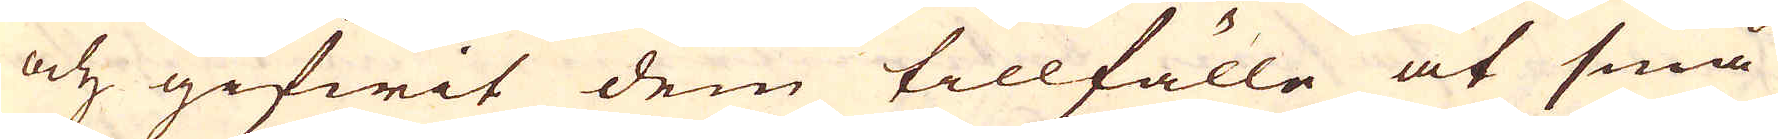och gifwit dem tillfälle at små
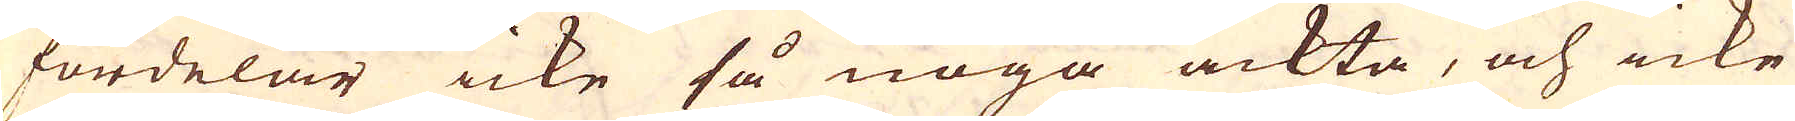fördelar icke så noga ackta, och icke
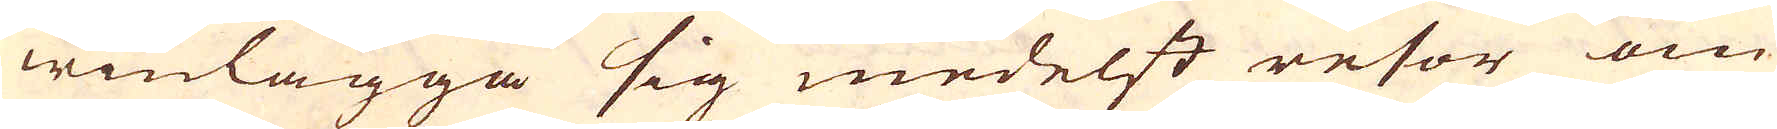winlägga sig medelst resor om
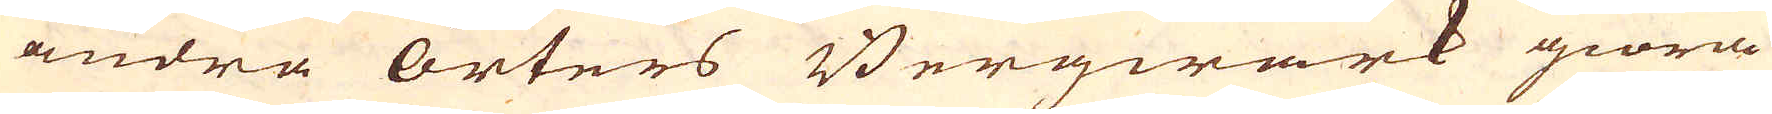andra orters Bergwärk giöra
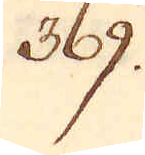369.
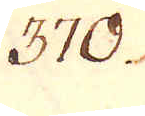370.
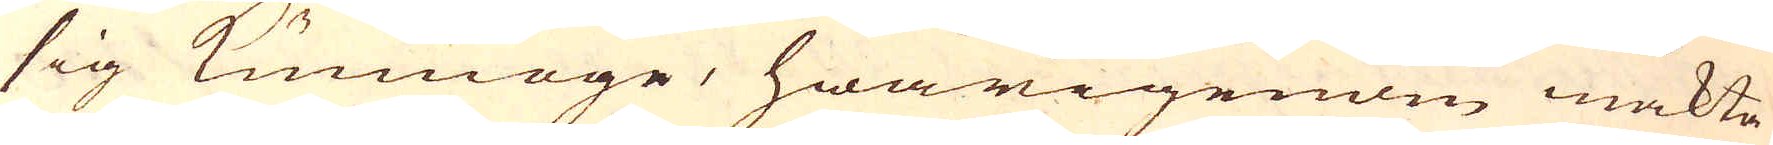sig kunnoge, hwarigenom mäkta
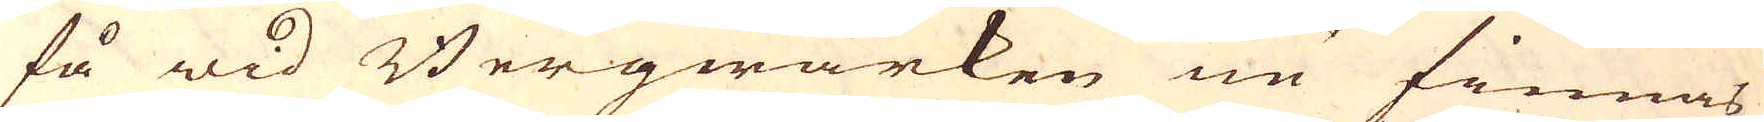få wid Bergwärken nu finnas
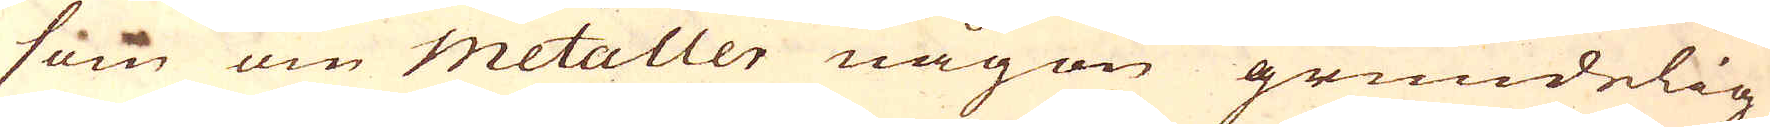som om metaller någon grundelig
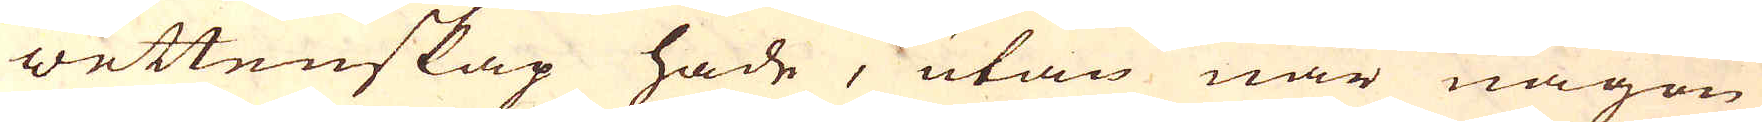wettenskap hade, utan när någon
